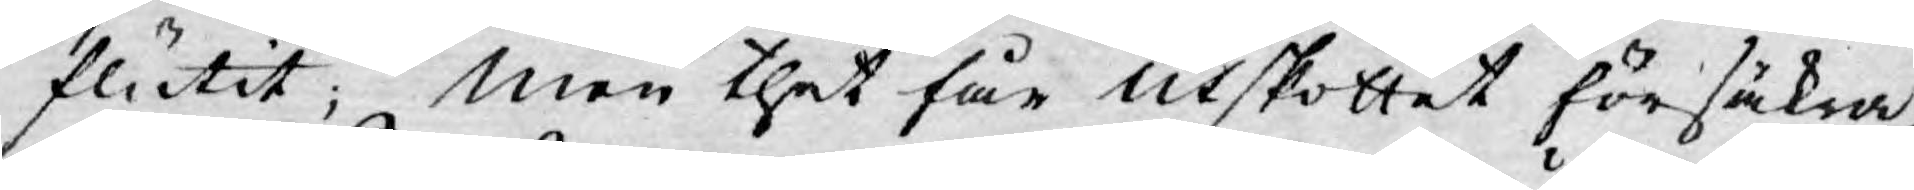flutit; men thet får utskottet försäkra
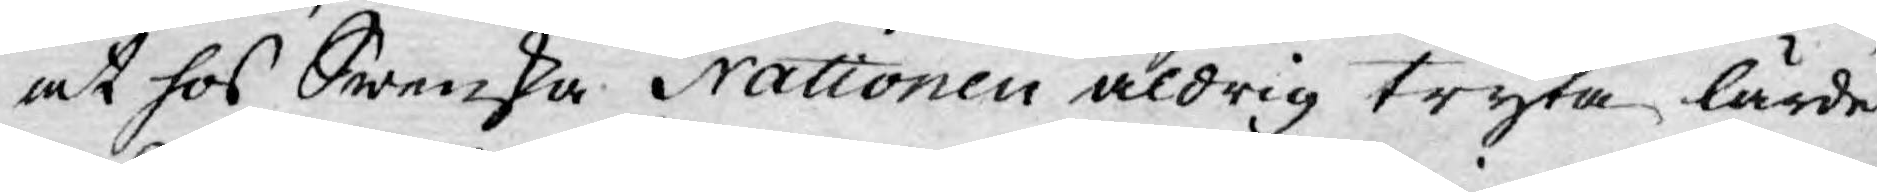at hos Swenska Nationen aldrig tryta lärde
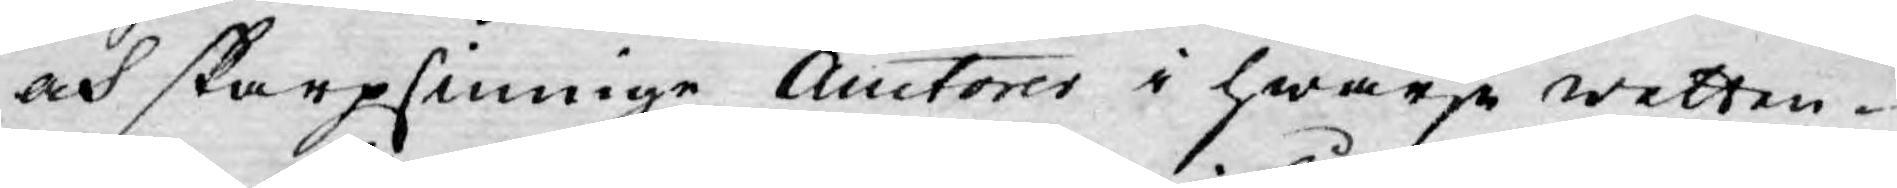och skarpsinnige Auctorer i hwarje wetten¬
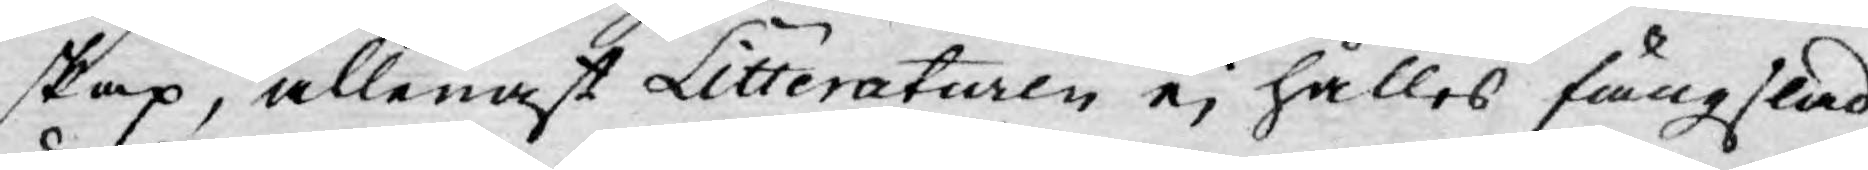skap, allenast Litteratuaren ej hålles fängslad
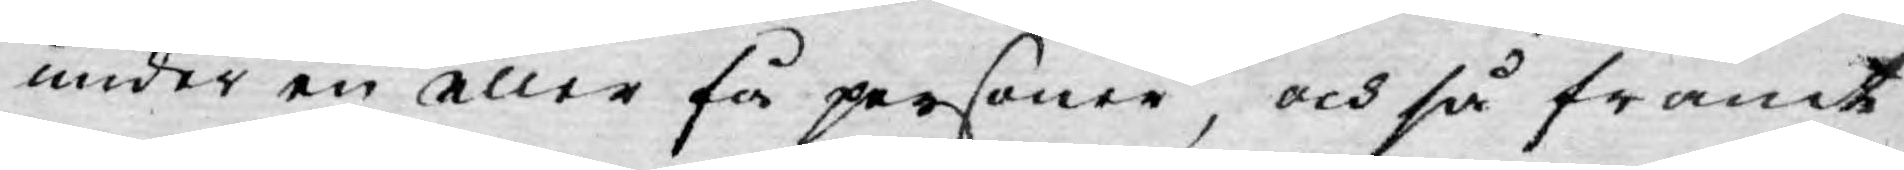under en eller få personer, och så framt
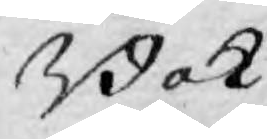Bok¬
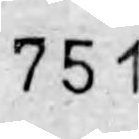751
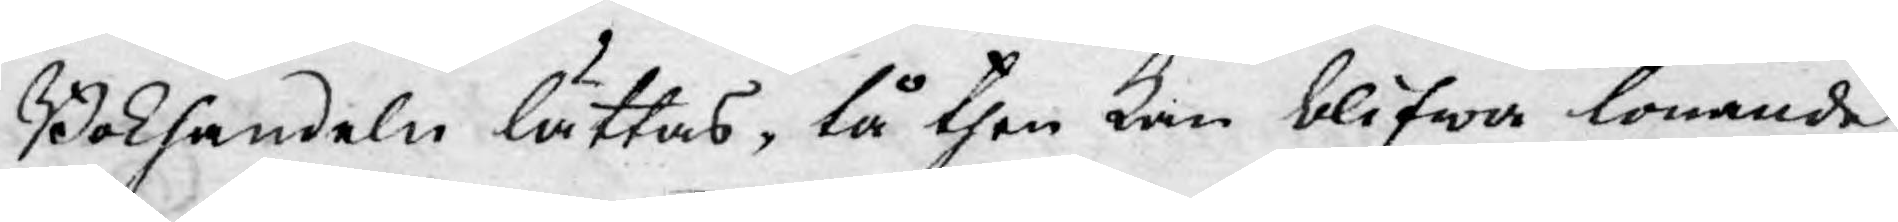Bokhandeln lättas, tå then kan blifwa lönande,
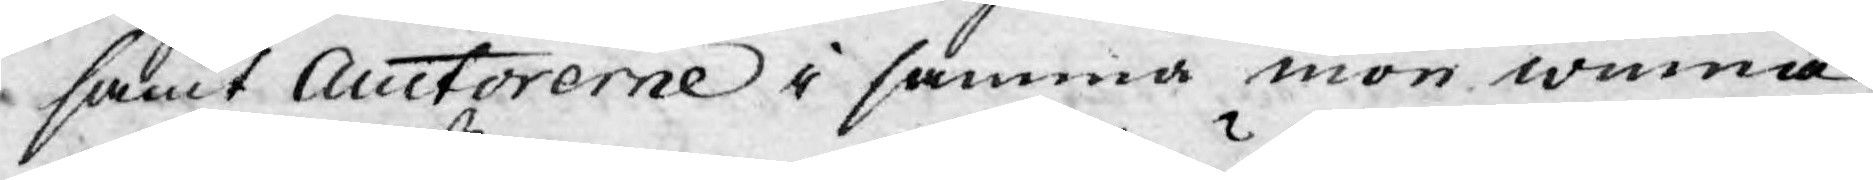samt Auctorerne i samma mon winna
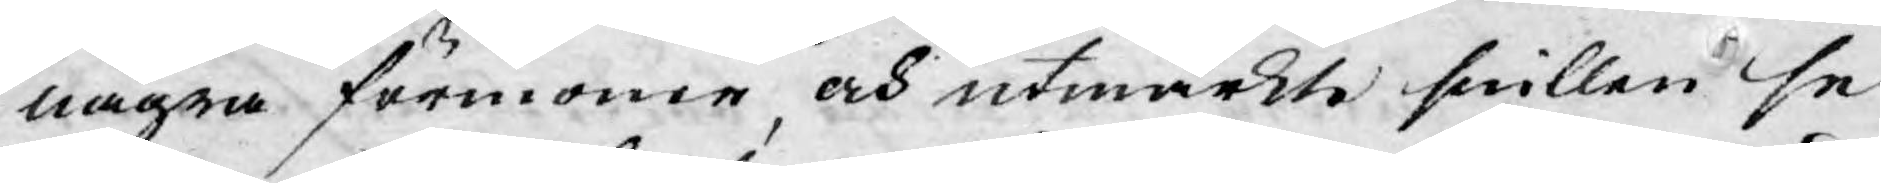några förmoner, och utmärkte snillen se
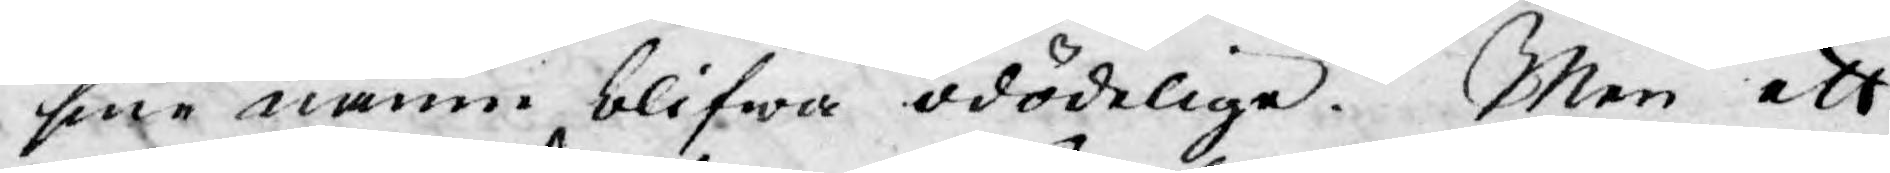sine namn blifwa odödelige. Men ett
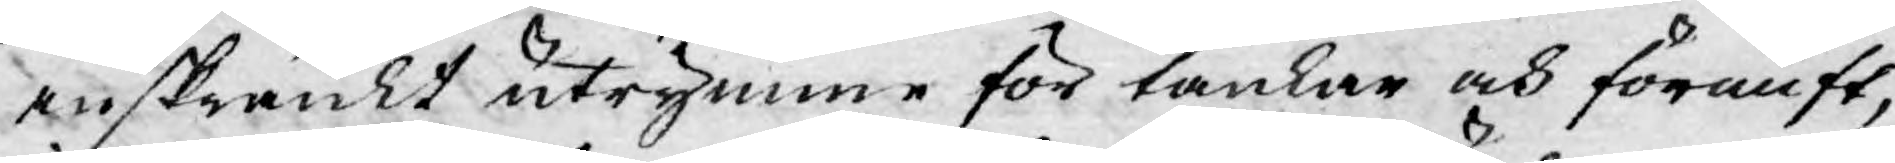inskränkt utrymme för tankar och förnuft,
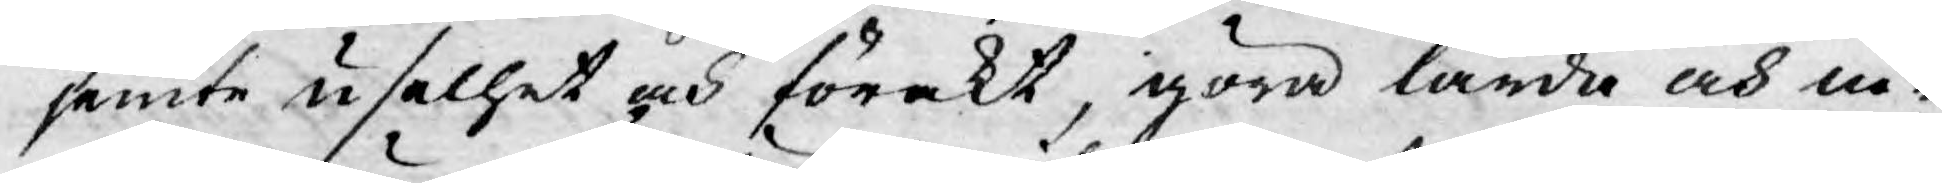jemte uselhet och förakt, göra lärda och ni¬
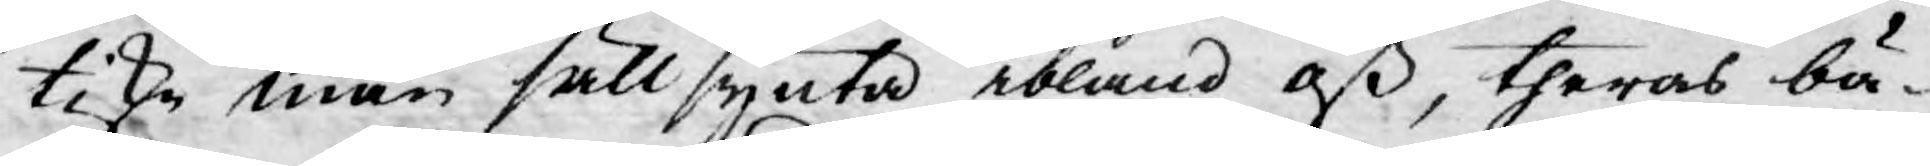tiske män sällsynta ibland oß, theras bä¬
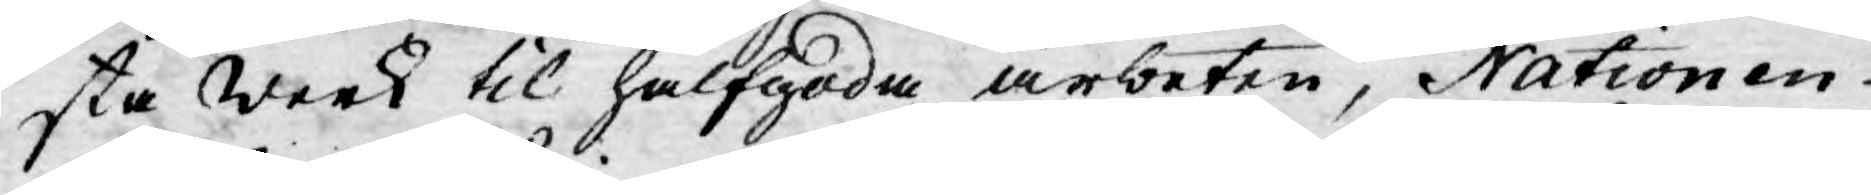sta Werk til halfgoda arbeten, Nationen
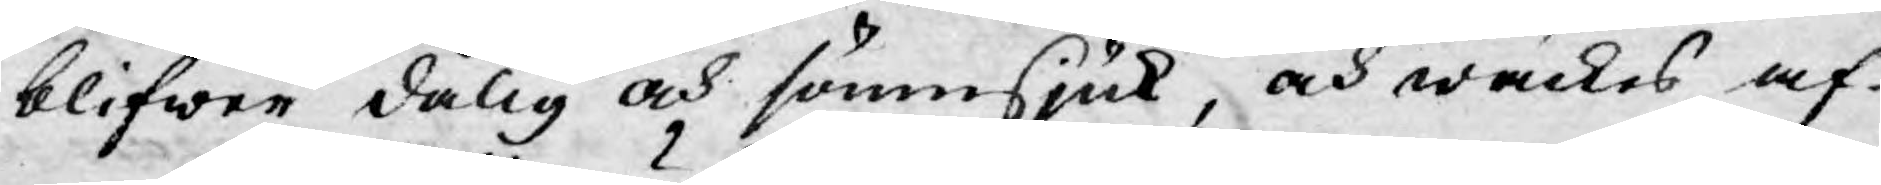blifwer dålig och sömnsjuk, och wäckes af
